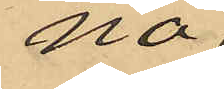na,
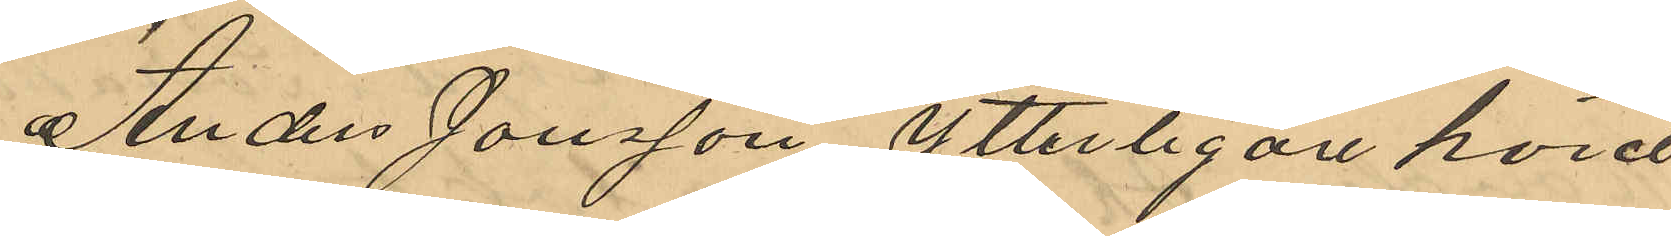Anders Jonsson ytterligare hörd
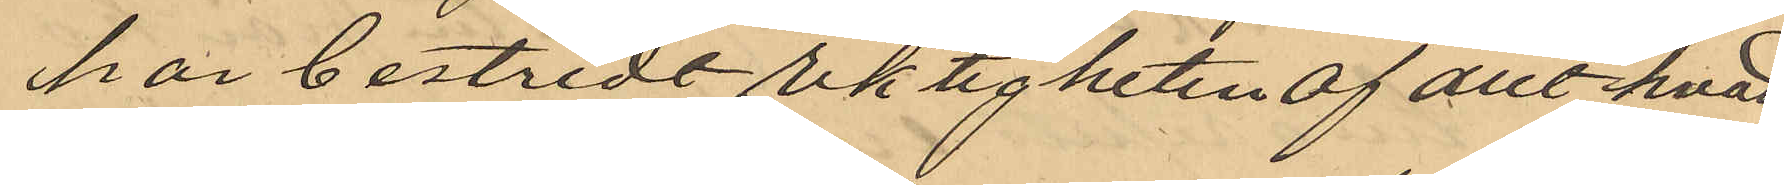har bestridt riktigheten af allt hvad
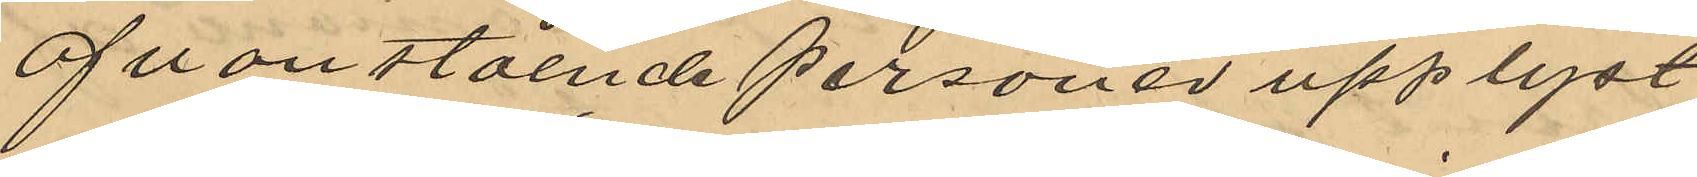ofvanstående personer upplyst
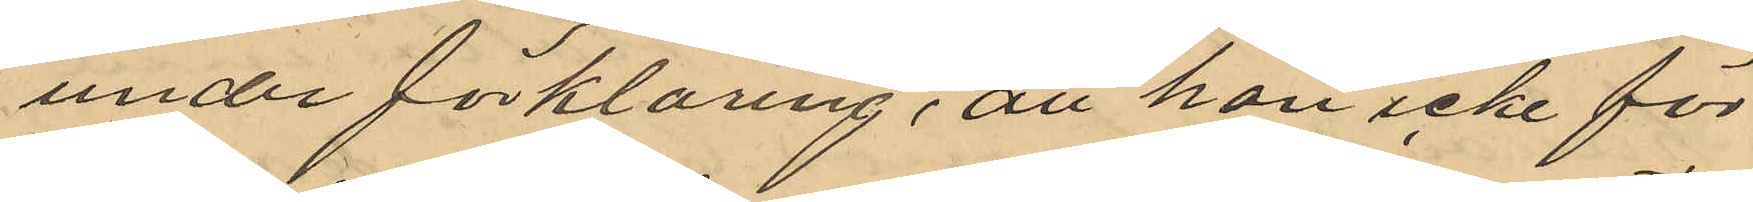under förklaring, att han icke för
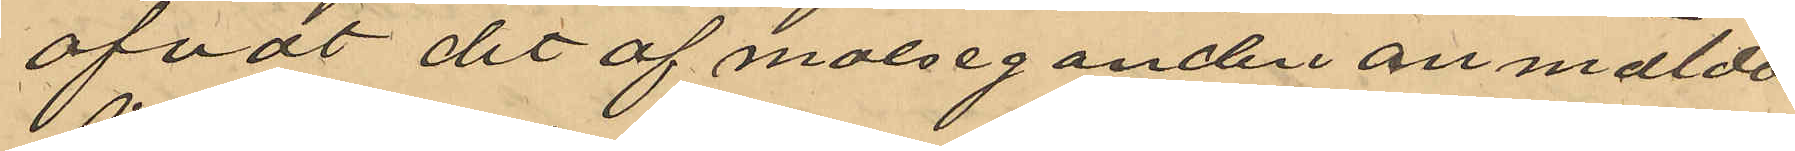öfvat det af målseganden anmälda
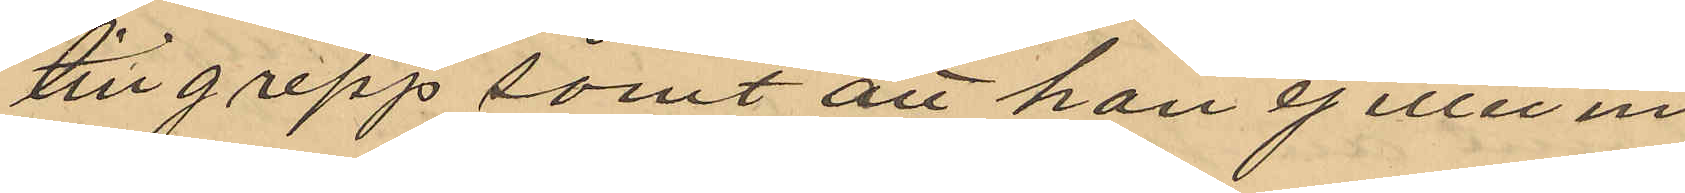tillgrepp samt att han ej eller in¬
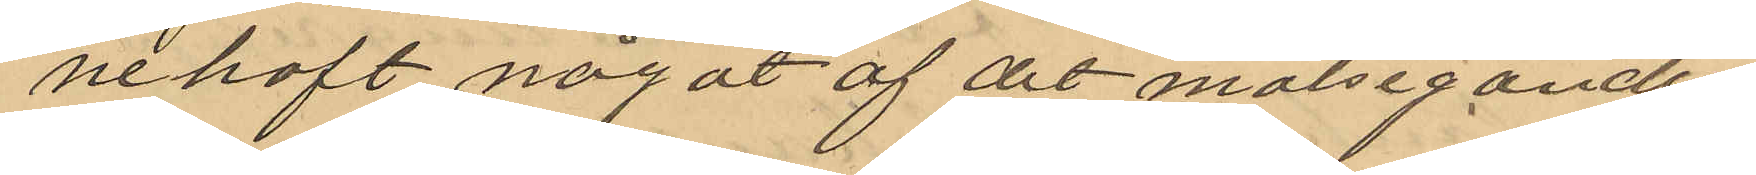nehaft något af det målseganden
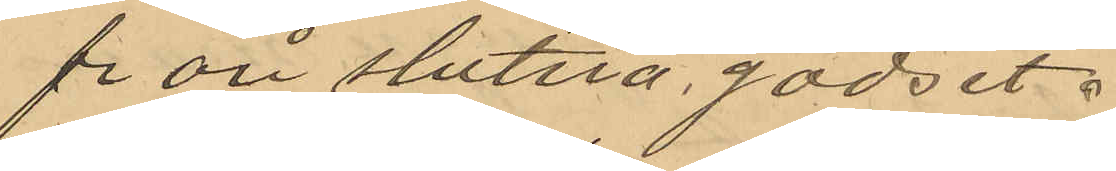fr ån stulna godset.
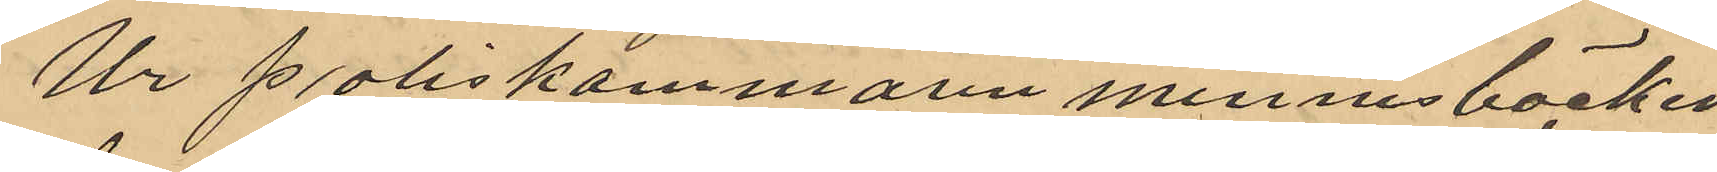Ur Poliskammaren minnesböcker
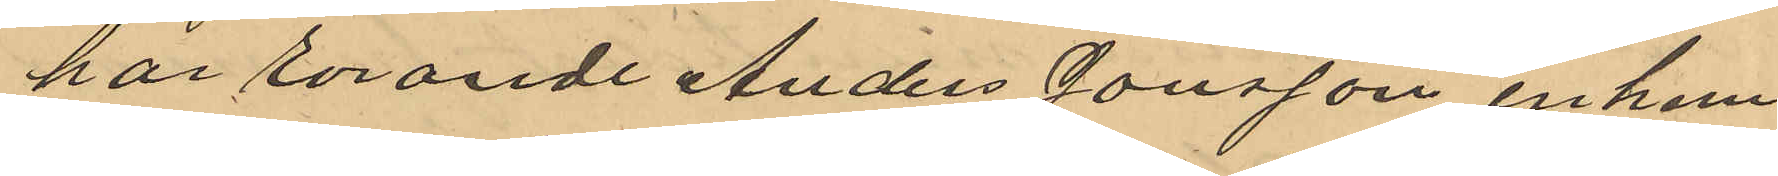har rörande Anders Jonsson inhem¬
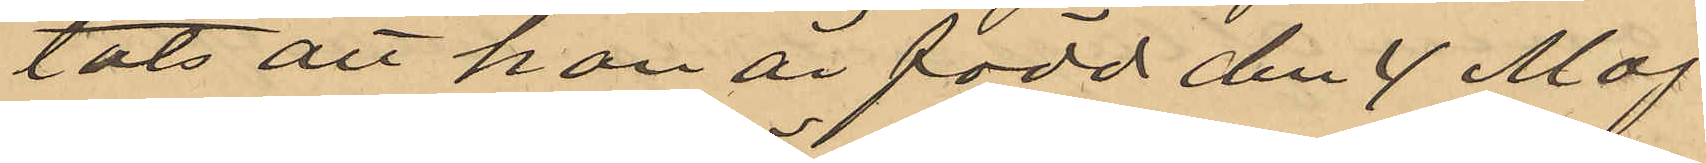tats att han är född den 4 Maj
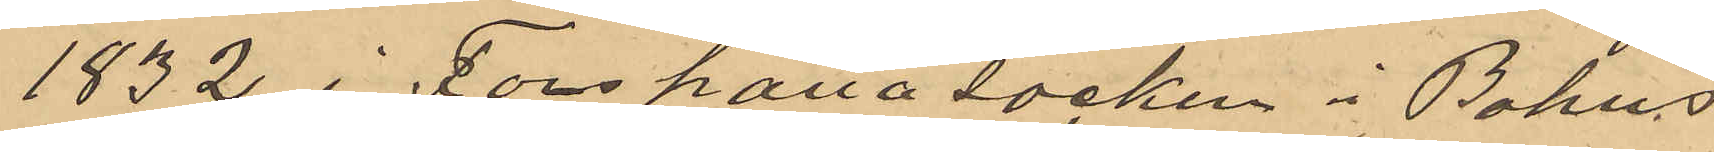1832 i Forshälla socken i Bohus
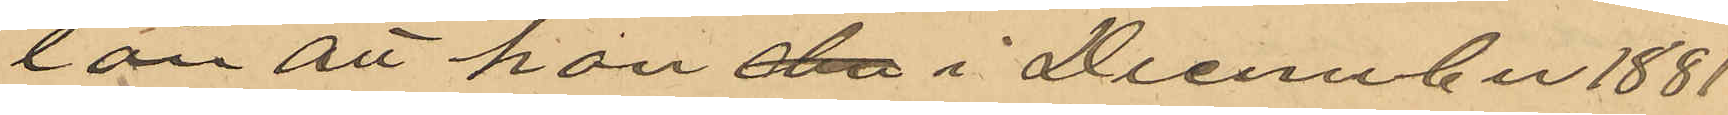län att han den i December 1881
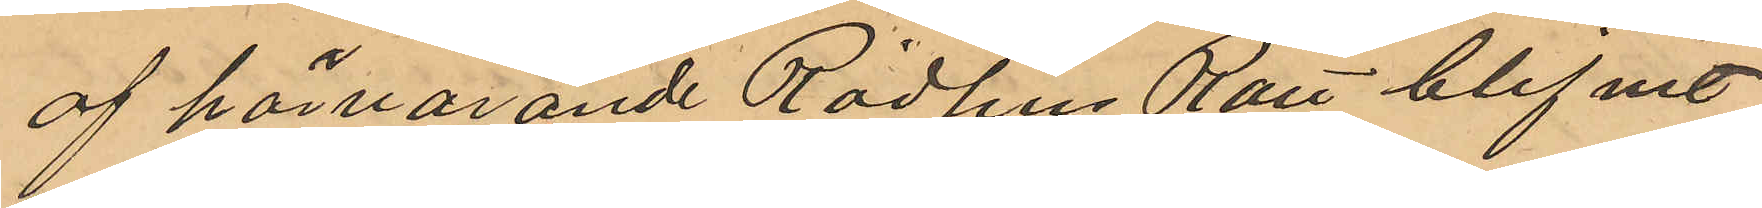af härvarande Rådhus Rätt blifvit
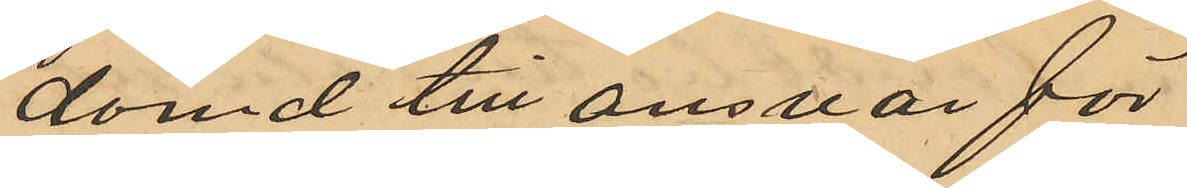dömd till ansvar för
